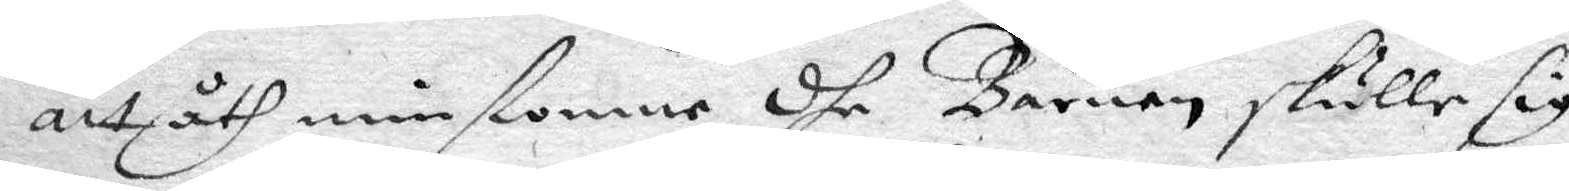att åthminstonne dhe Barnen skulle sig
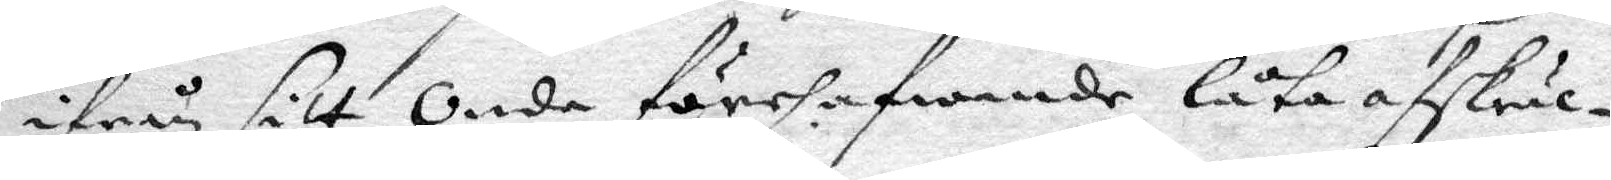ifrån sitt Onde förehafwande låta afskräc¬
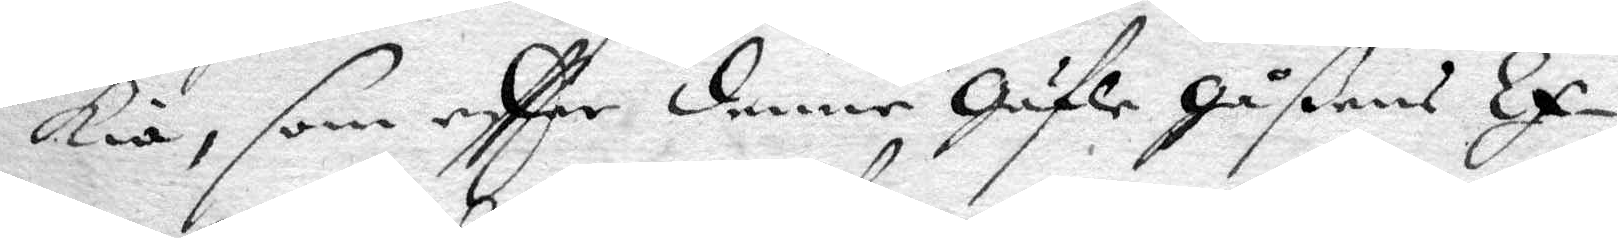kia, som eftter denne Gäfle Gåßens Ex¬
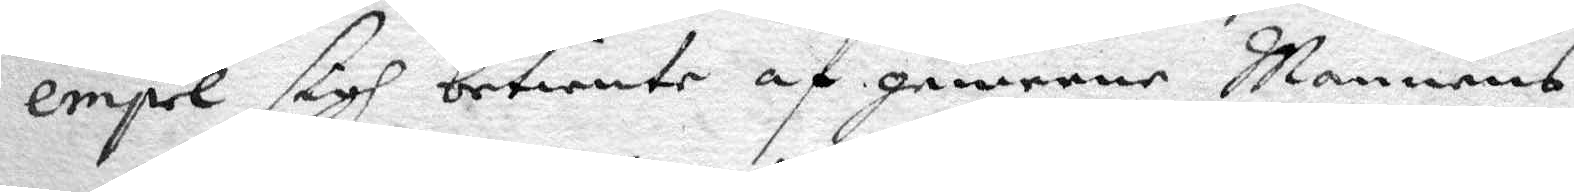empel sigh betiente af gemene Mannens
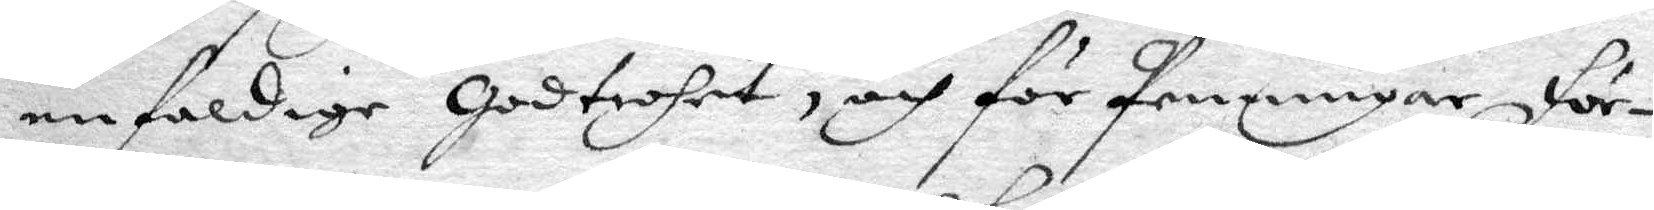enfaldige Godtrohet, och för Penningar För¬
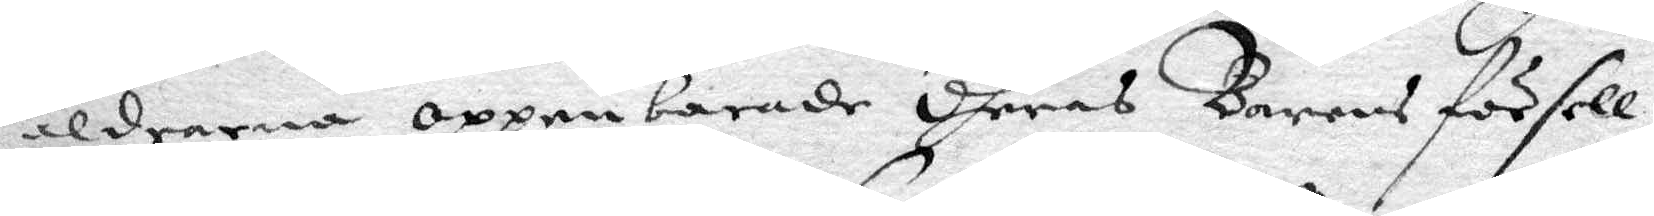äldrarna oppenbarade dheras Barns försell,
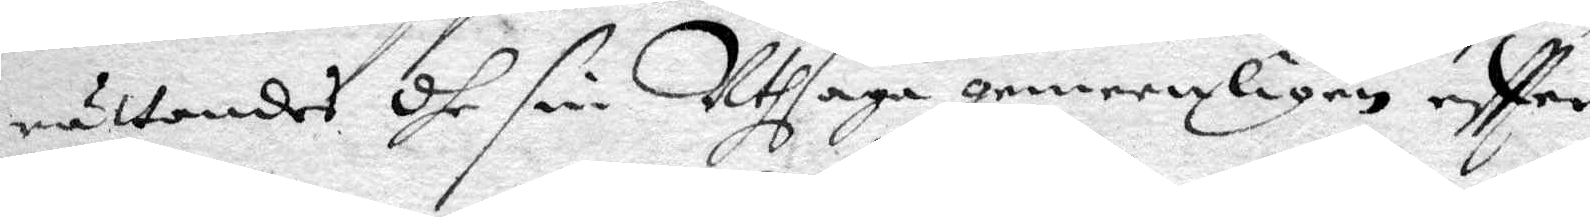rättandes dhe sin Uthsaga gemeenligen eftter
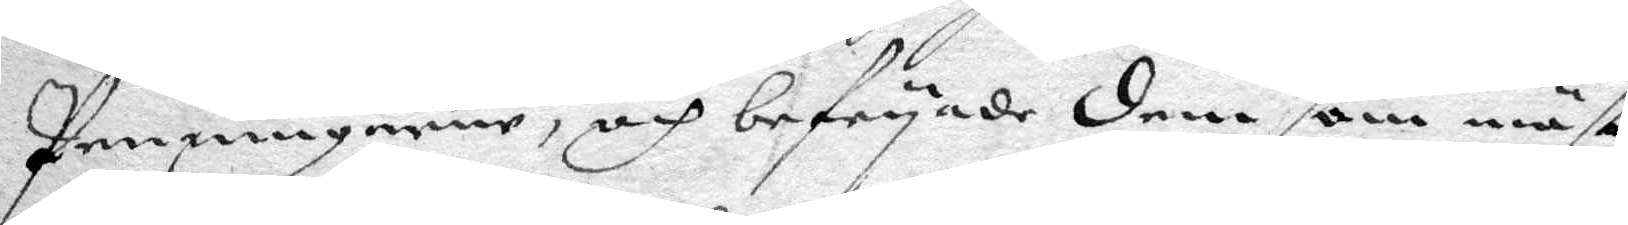Penningarne, och befryade dem som mäst
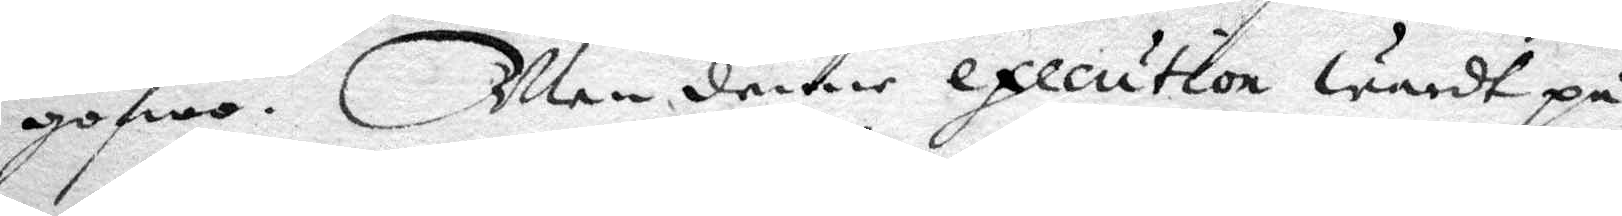gofwo. Men denne execution wardt på
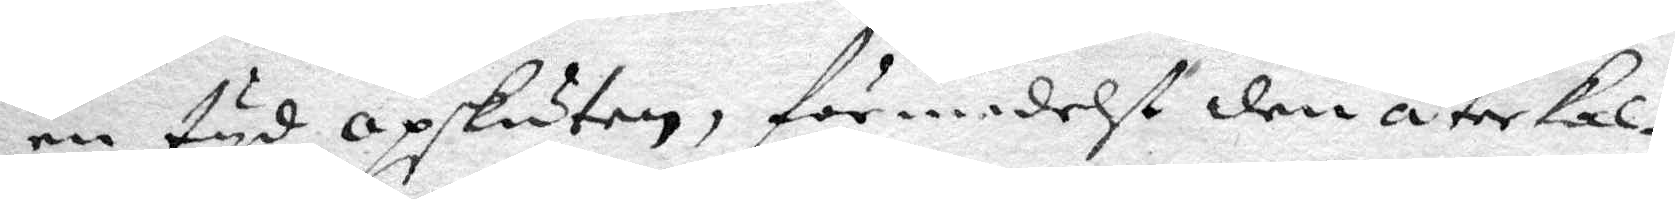en tyd opskuten, för medelst den återkal¬
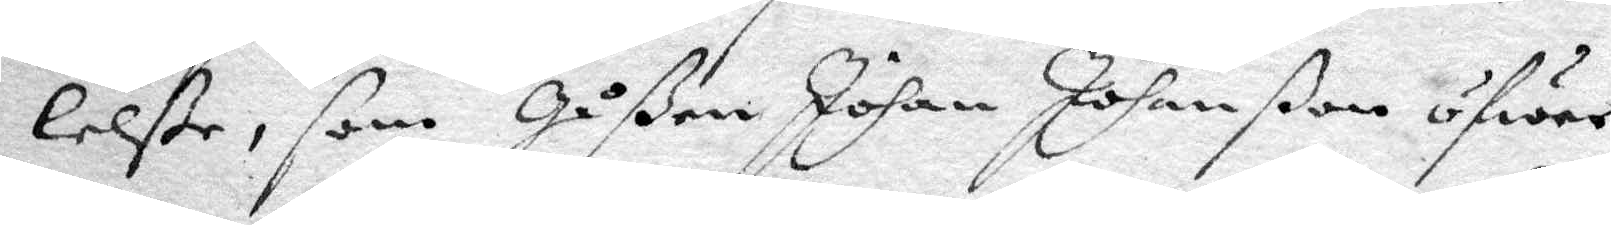lelße, som Gåßen Johan Johanßon öfwer
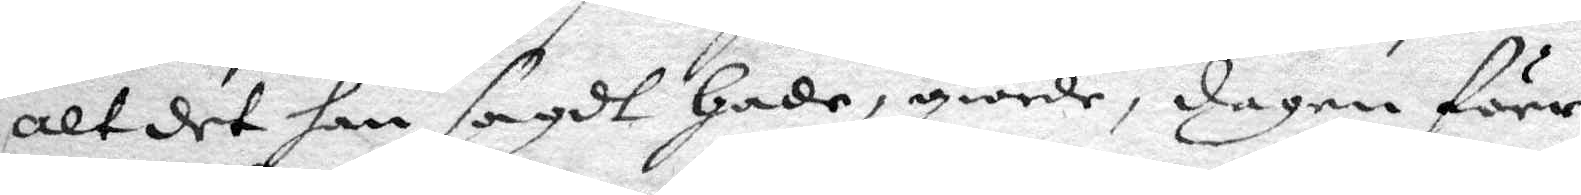alt det han sagdt hade, giorde, dagen före
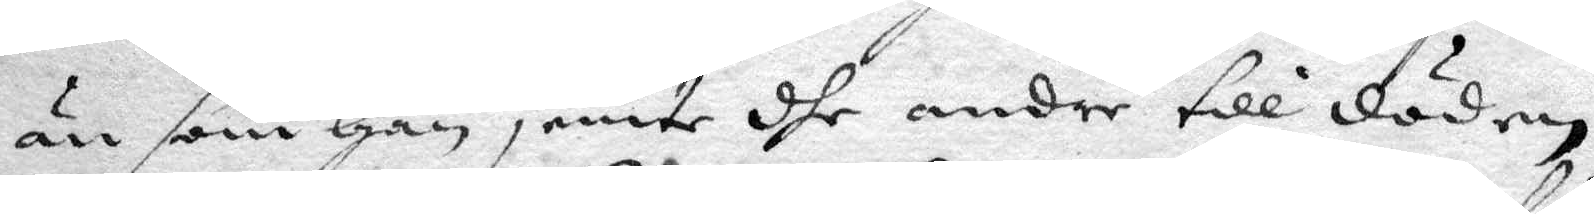än som han jemte dhe andre till döden
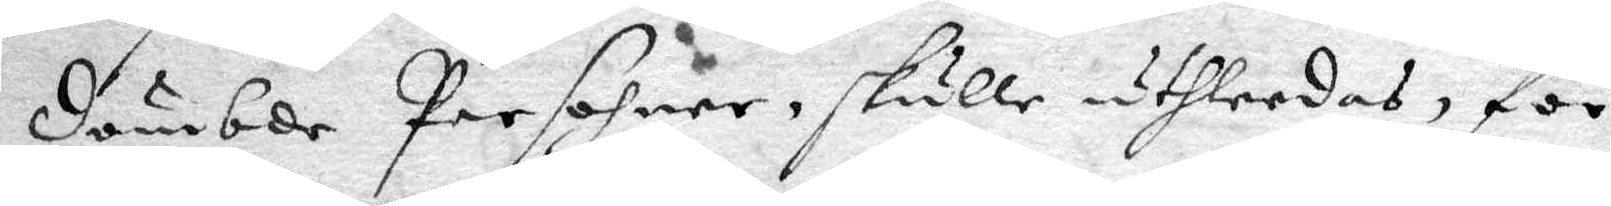dömbde Persohner skulle uthleedas, för¬
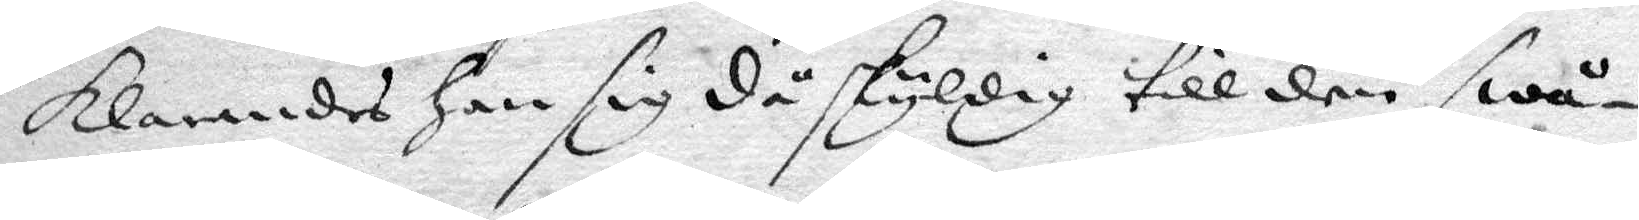klarandes han sig då skyldig till den swå¬
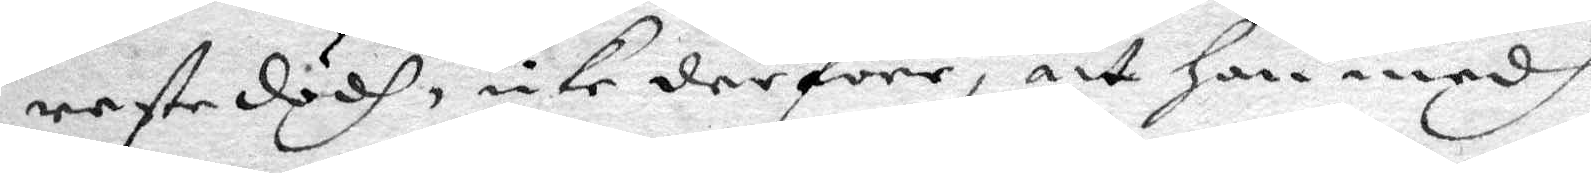reste dödh, icke derföre, att han medh
